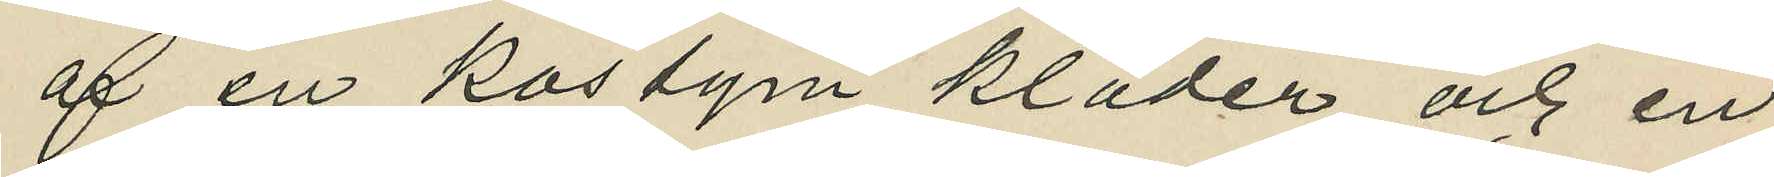af en kostym kläder och en
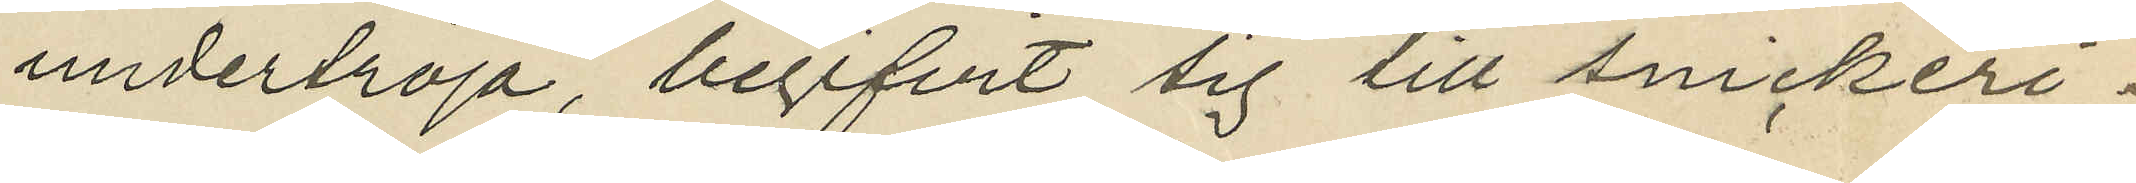undertröja, begifvit sig till snickeri¬
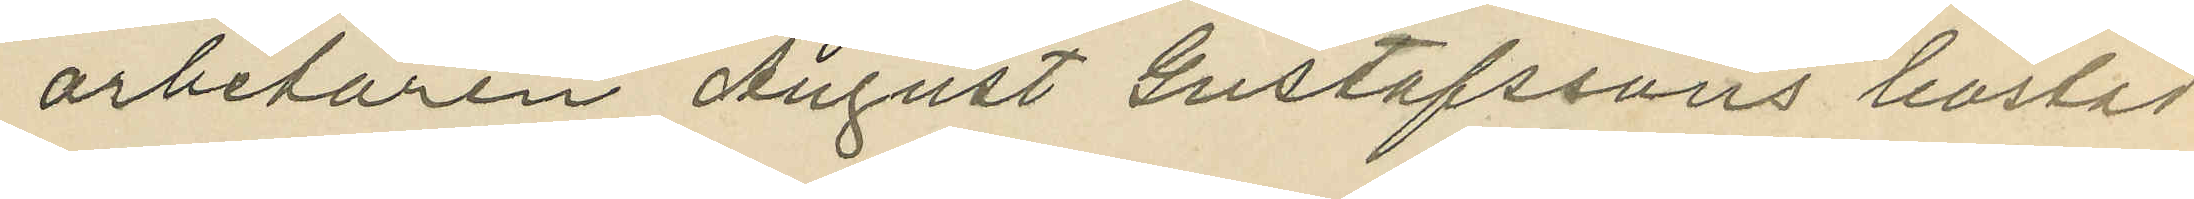arbetaren August Gustafssons bostad
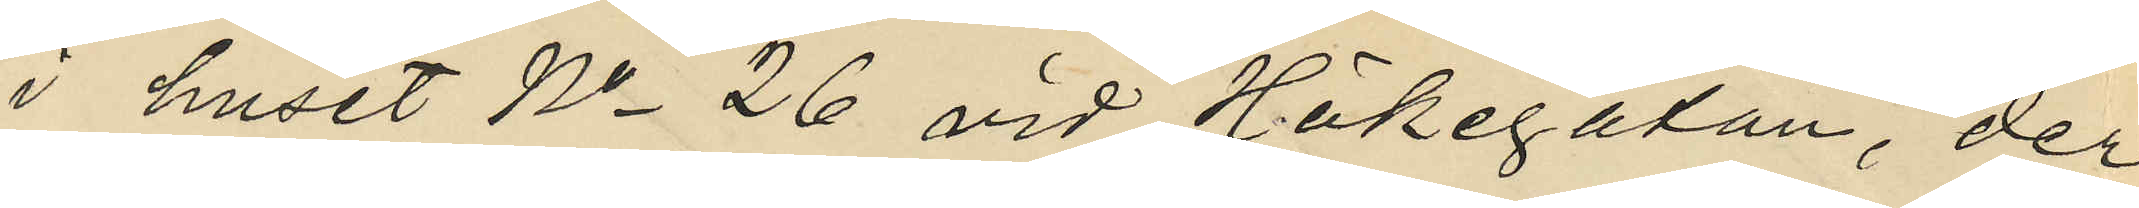i huset No 26 vid Hökegatan, der
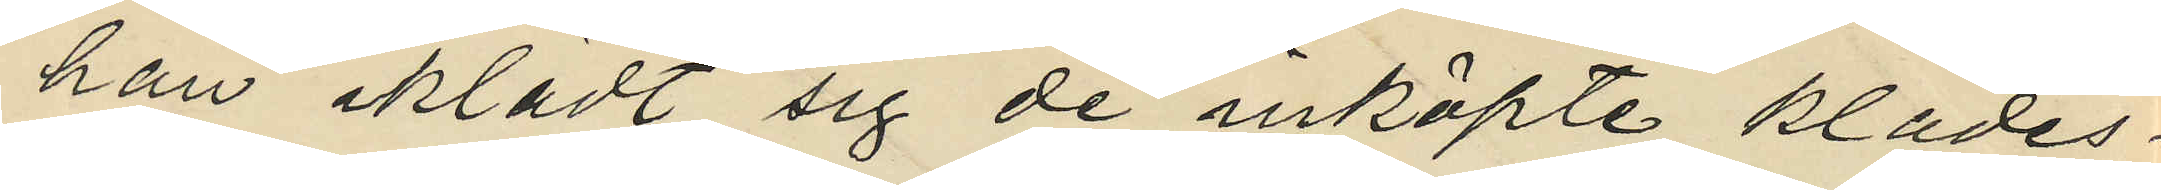han iklädt sig de inköpte klädes¬
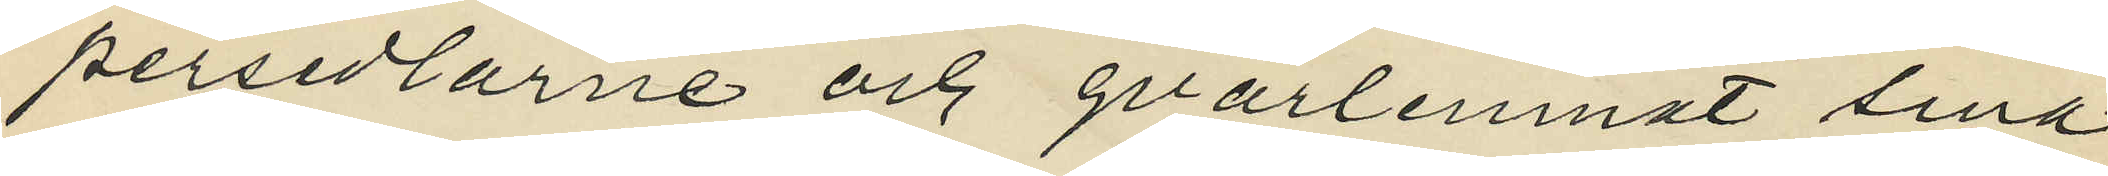persedlarne och qvarlemnat sina
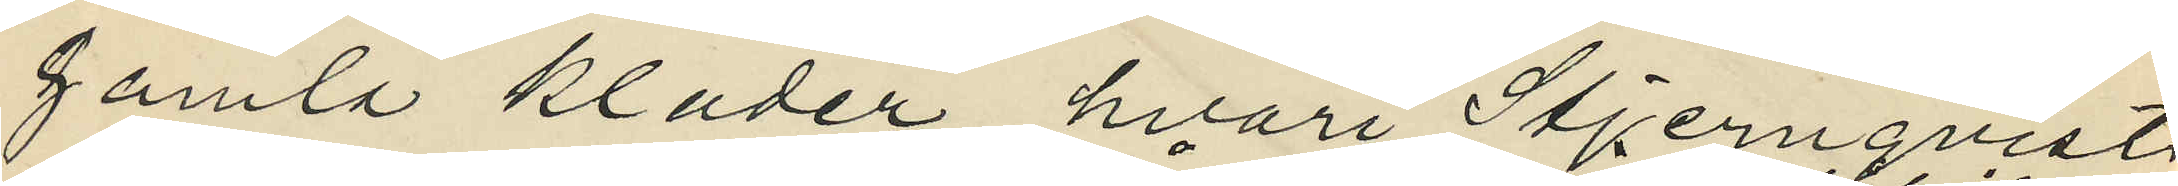gamla kläder, hvari Stjernqvists
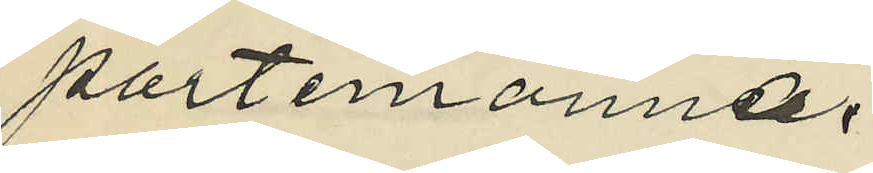portemonnae,
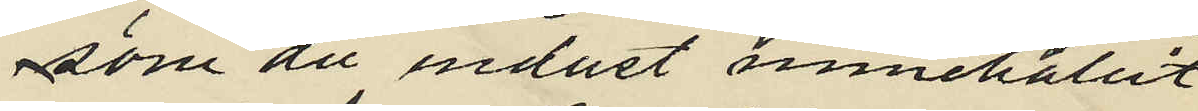som då endast innehållit
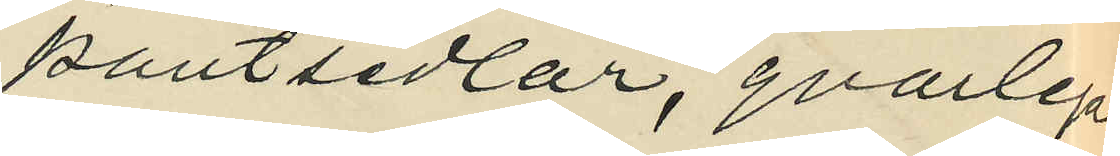pantsedlar, qvarlegat,
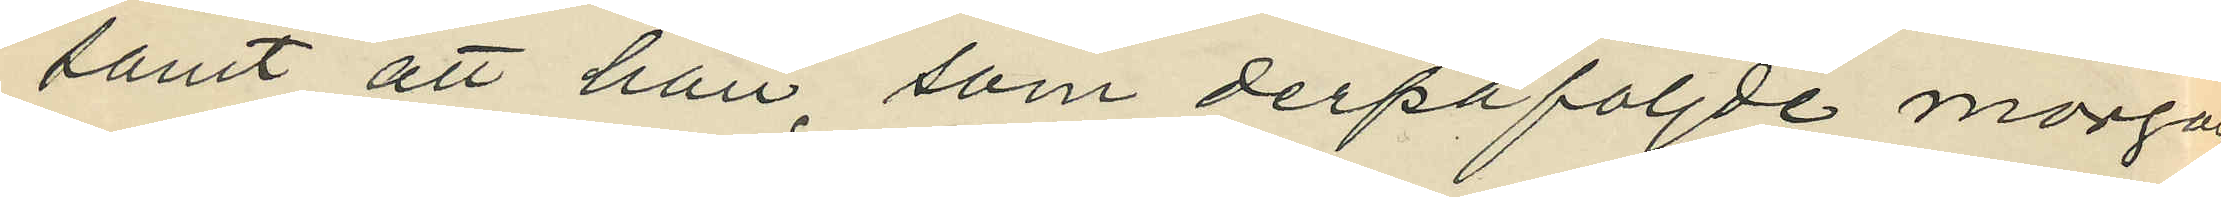samt att han, som derpåföljde morgon
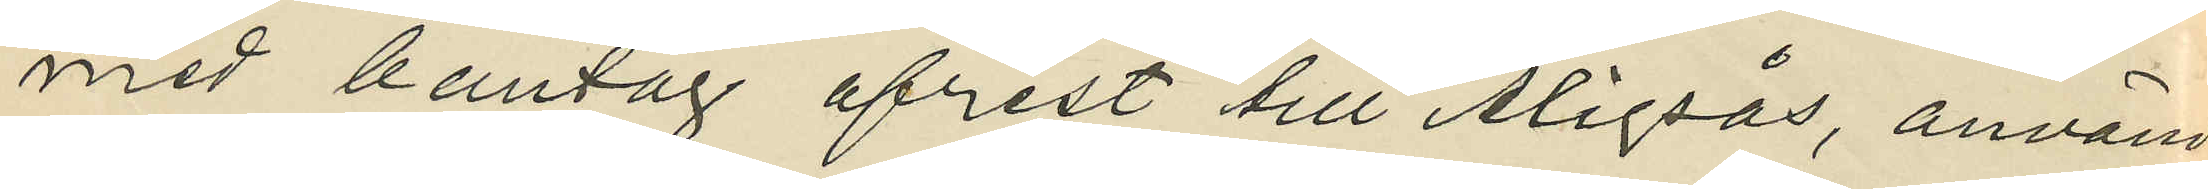med bantåg afrest till Aligsås, användt
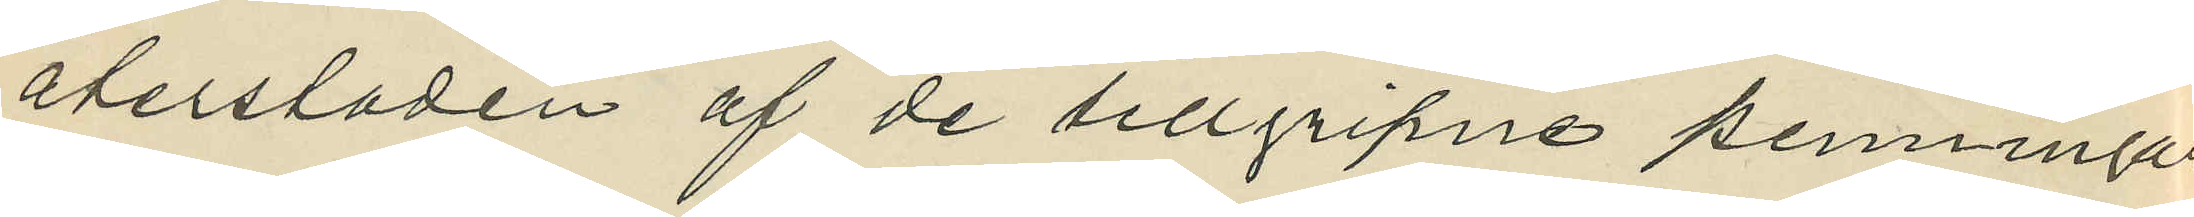återstoden af de tillgripne penningar¬
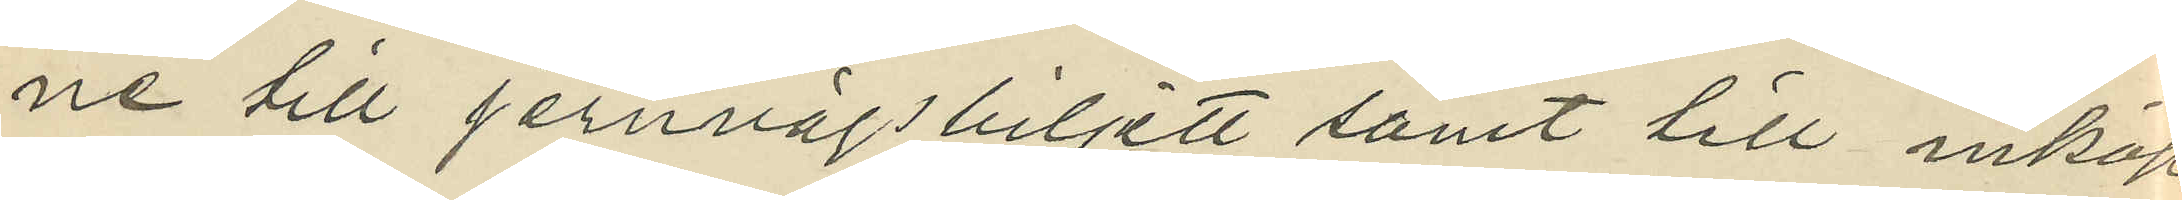ne till jernvägsbiljett samt till inköp
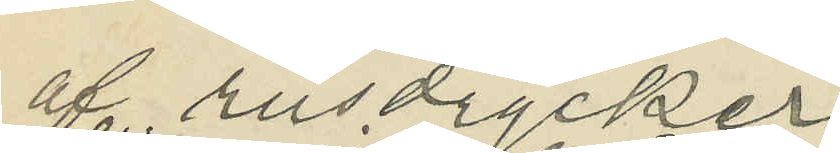af rusdrycker.
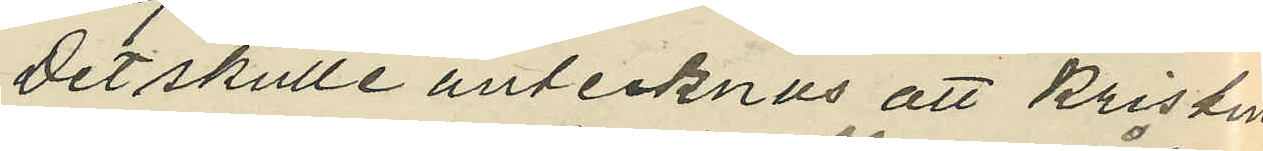Det skulle antecknas att Kristine
